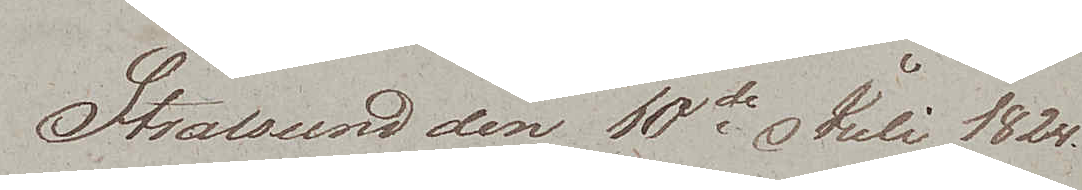Stralsund den 10de Juli 1825.
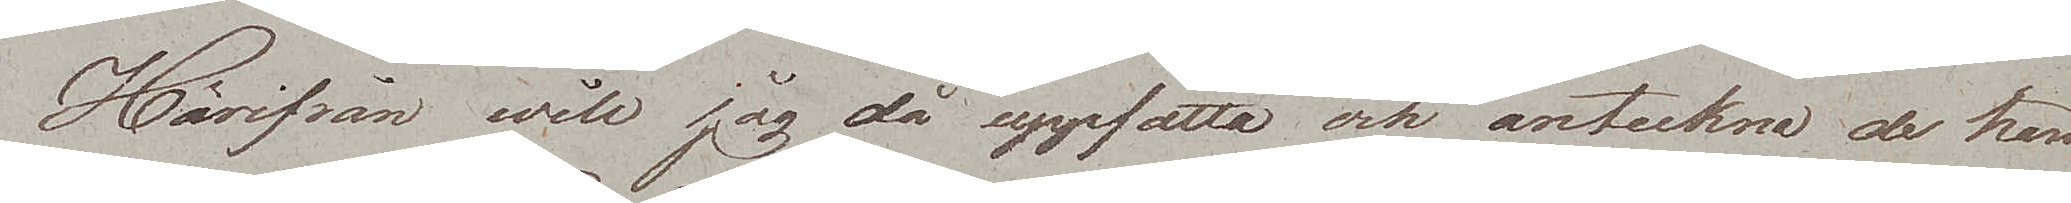Härifrån will jag då uppfatta och anteckna de hän¬
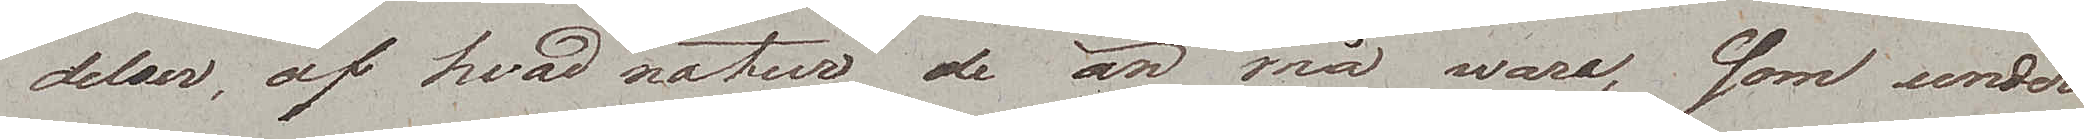delser, af hvad natur de än må wara, som under
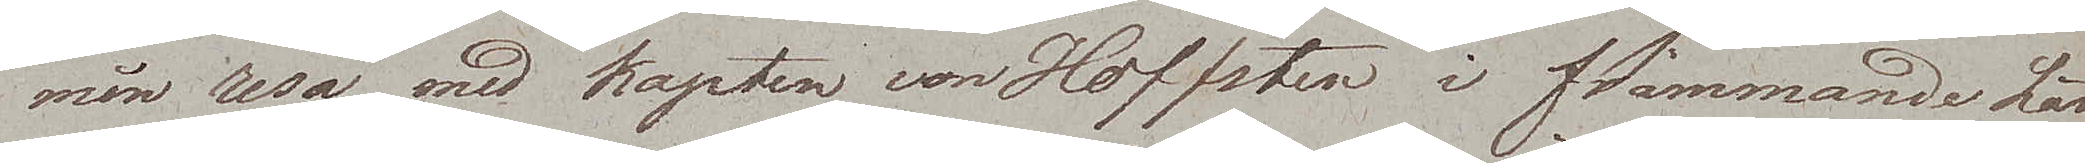min resa med kapten von Hoffsten i främmande län¬
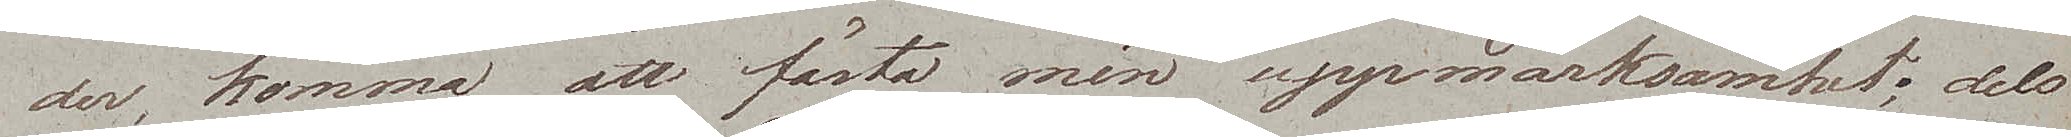der, komma att fästa min uppmärksamhet; dels
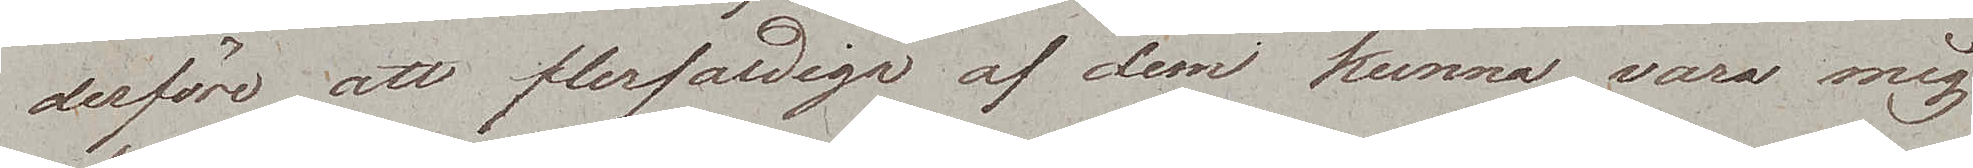derföre att flerfaldiga af dem kunna vara mig
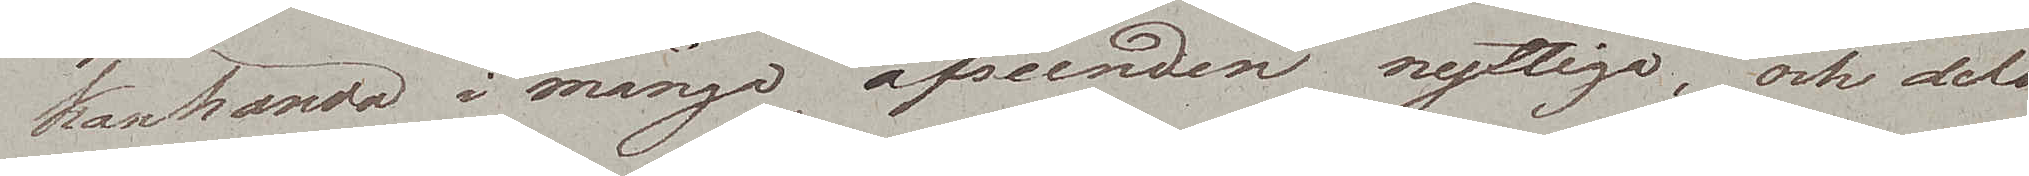kanhända i många afseenden nyttiga, och delo
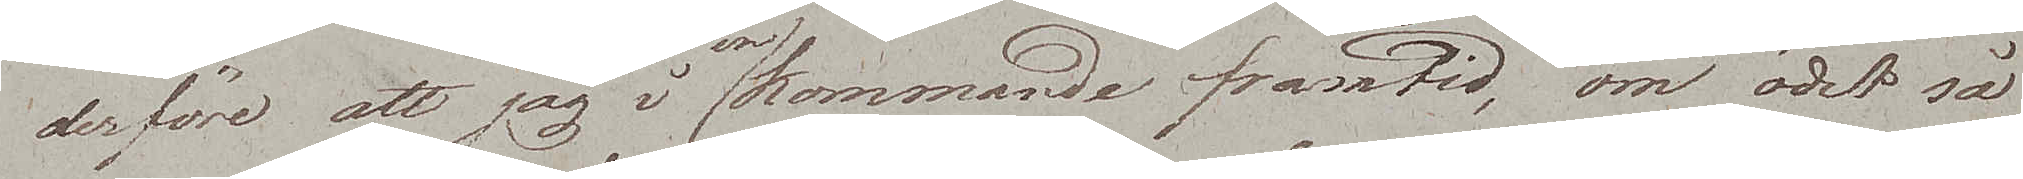derföre att jag i en kommande framtid, om ödet så
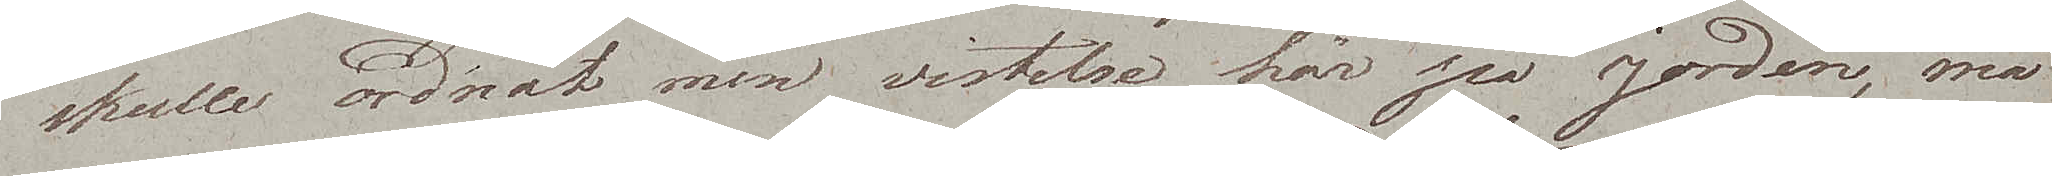skulle ordnat min vistelse här på jorden, må
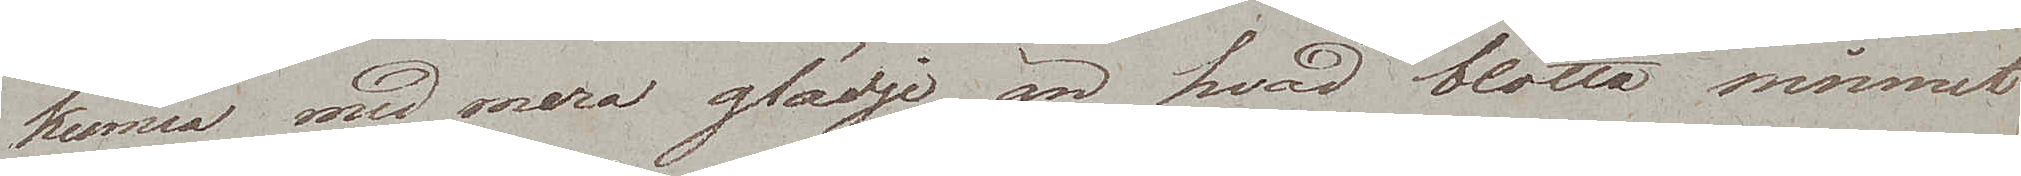kunna med mera glädje, än hvad blotta minnet
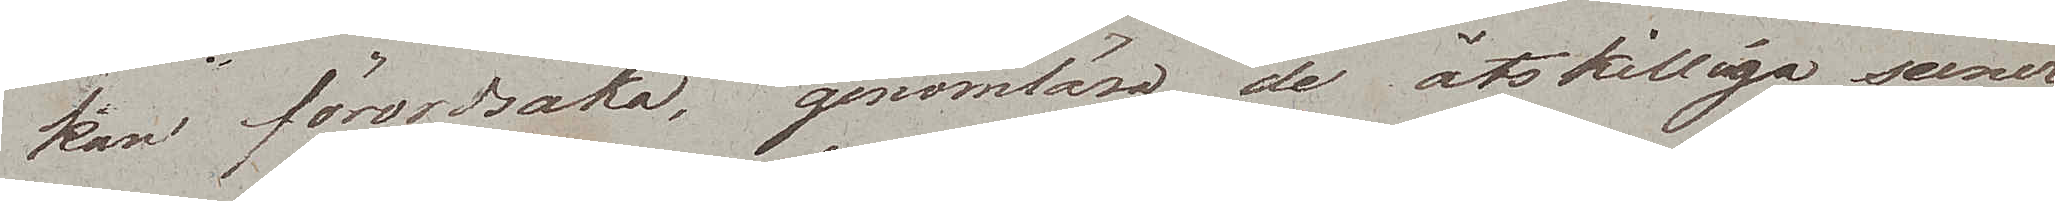kan förordsaka, genomläsa de åtskilliga scener
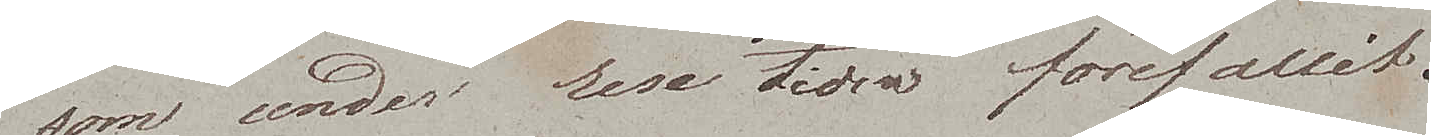som unden rese tiden förefallit.
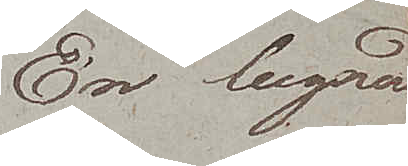En lugnad
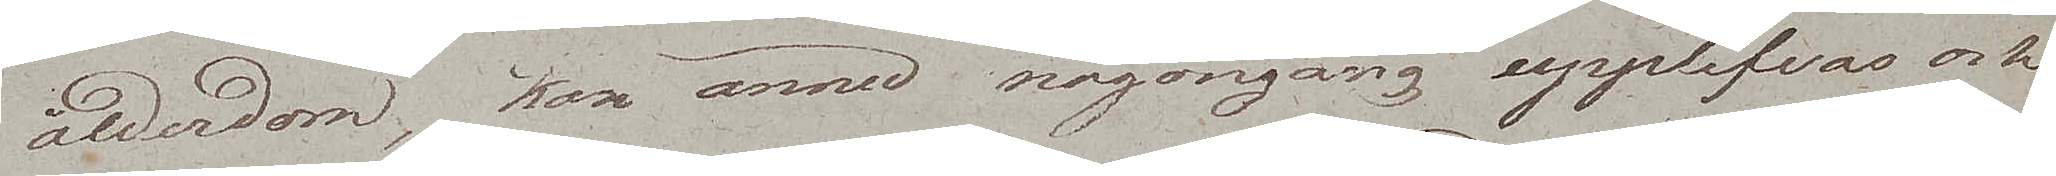ålderdom, kan ännu någongång upplefvas och
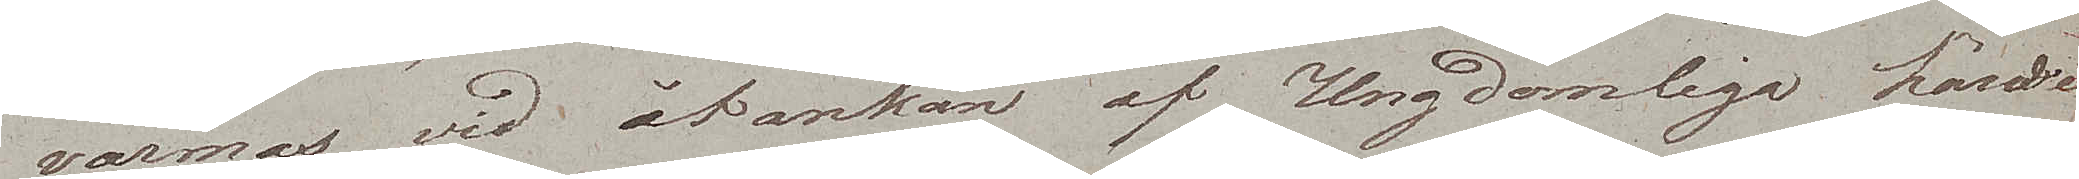värmas vid åtankan af Ungdomliga händel¬
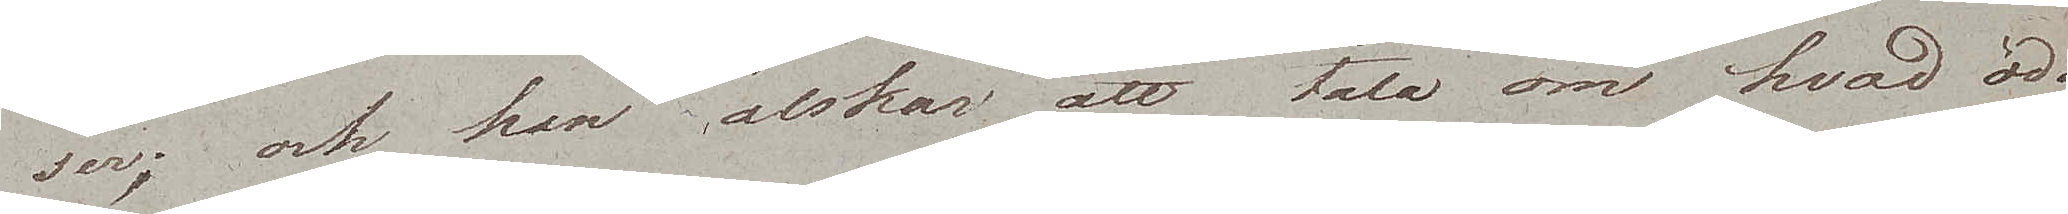ser; och han älskar att tala om hvad öde
